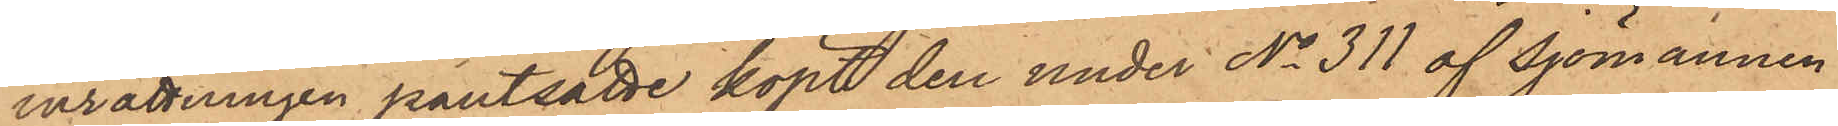inrättningen pantsatte köpt den under No 311 af Sjömannen
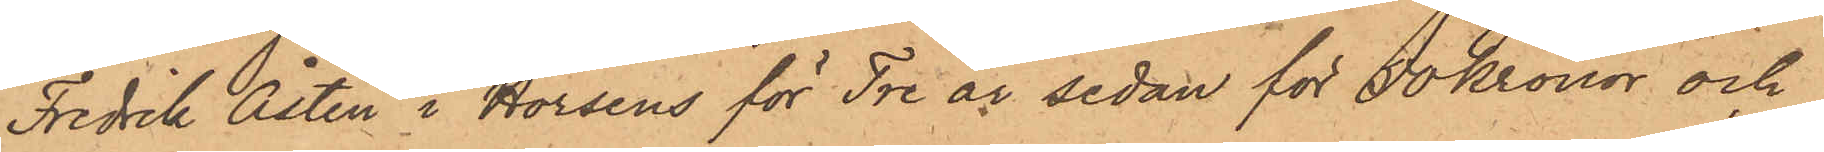Fredrik Åsten i Horsens för Tre år sedan för 50 kronor och
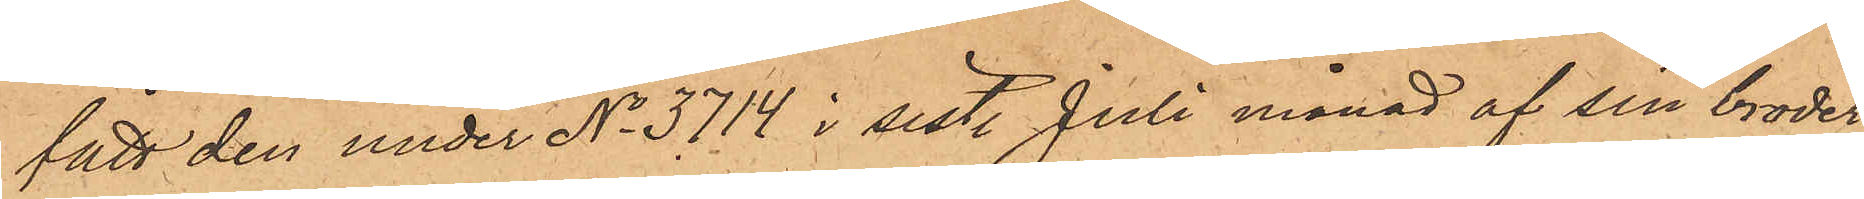fått den under No 3714 i sist. Juli månad af sin broder
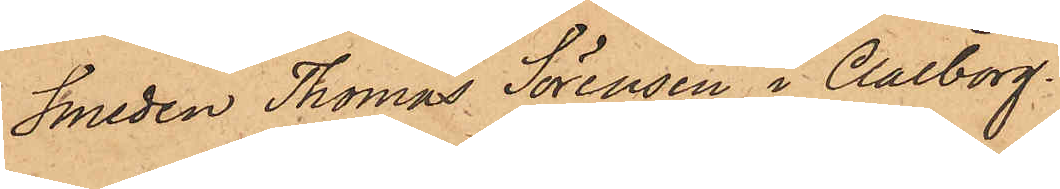Smeden Thomas Sörensen i Aalborg.
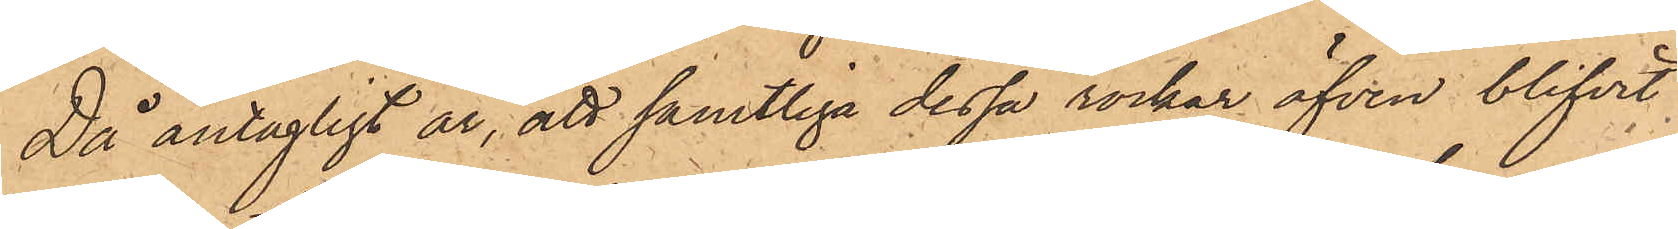Då antagligt är, att samtliga dessa rockar äfven blifvit
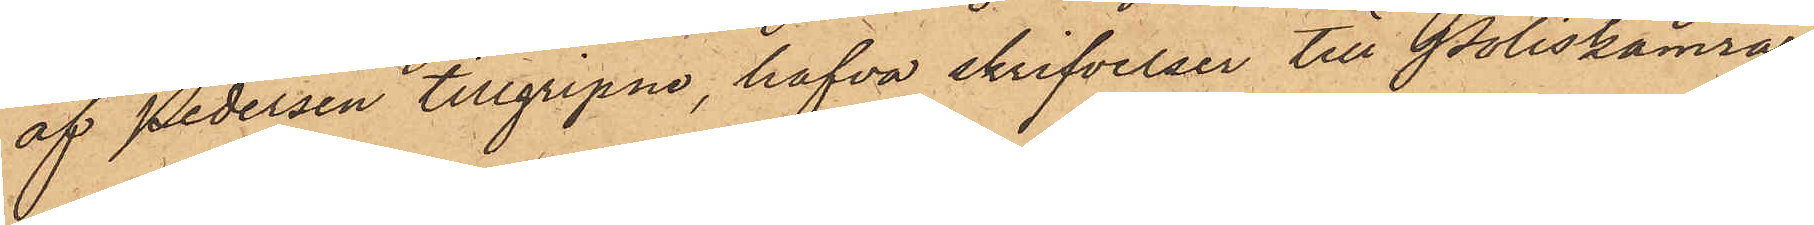af Pedersen tillgripne, hafva skrifvelser till Poliskamrar¬
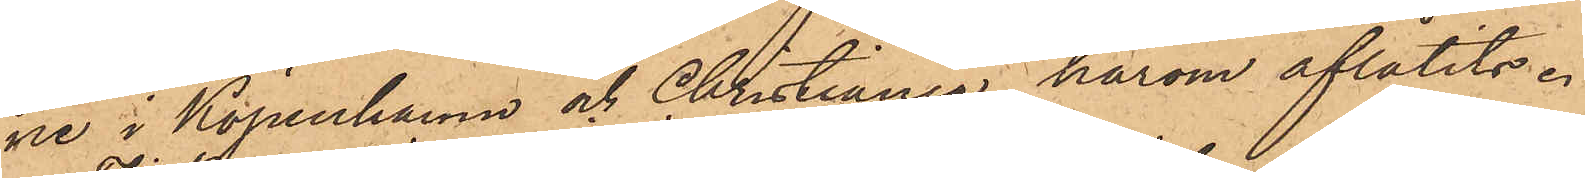ne i Köpenhamn och Christiania härom aflåtits.
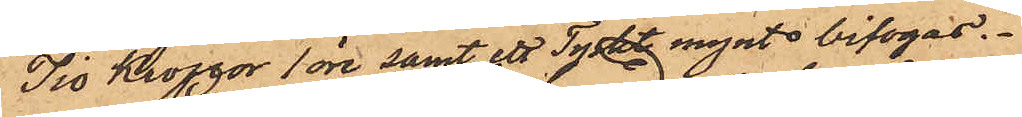Tio Kronor 1 öre samt ett Tyskt mynt bifogas.
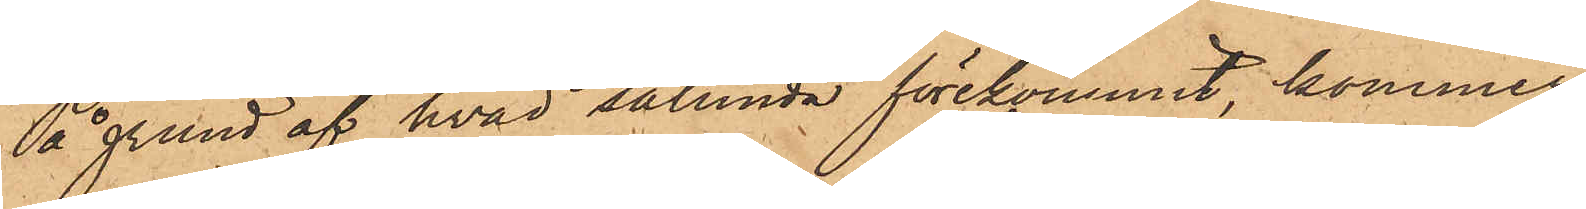På grund af hvad sålunda förekommit, kommer
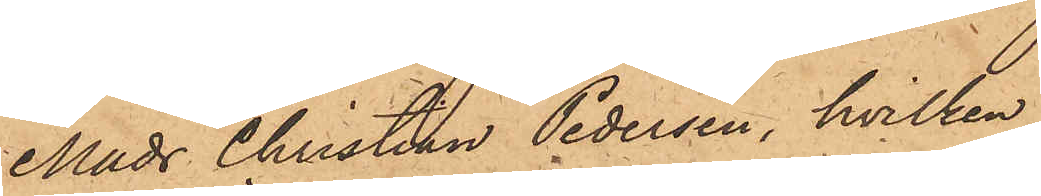Mads Christian Pedersen, hvilken
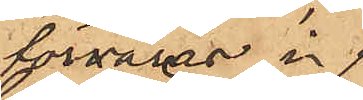förvaras i
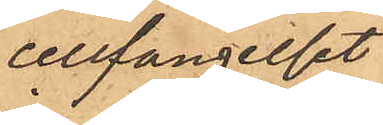cellfängelset,
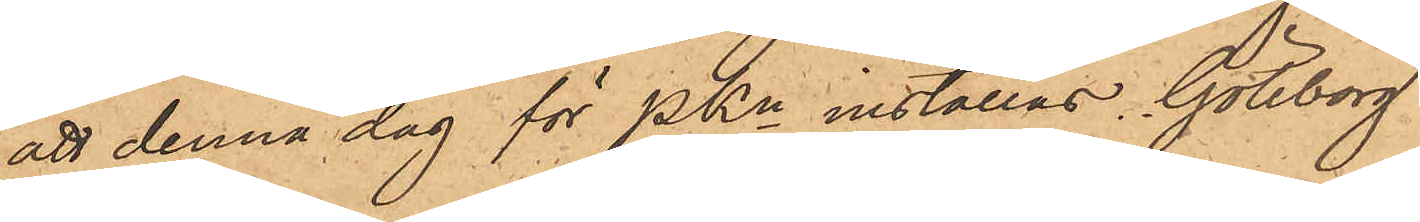att denna dag för PKn inställas. Göteborg
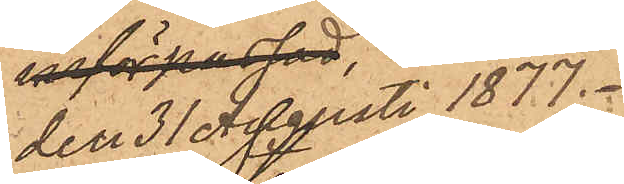den 31 Augusti 1877.
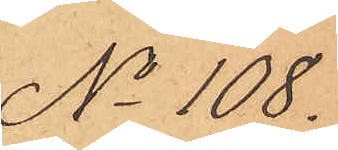No 108.
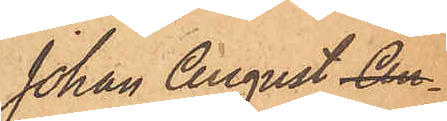Johan August An¬
